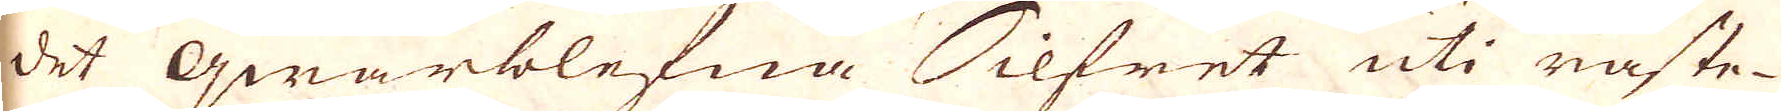det qwarblefna Silfret uti råste-
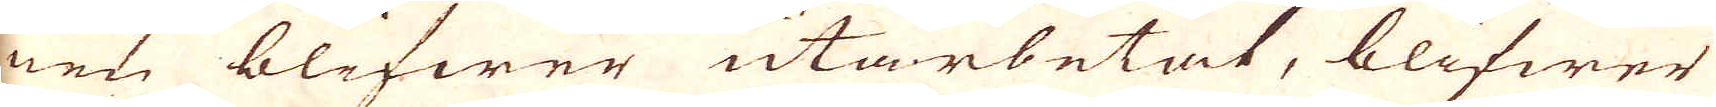nen blifwer utarbetat, blifwer
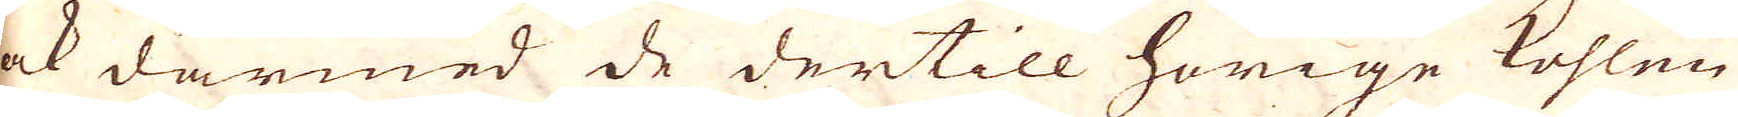ock därmed de dertill hörige kohlen
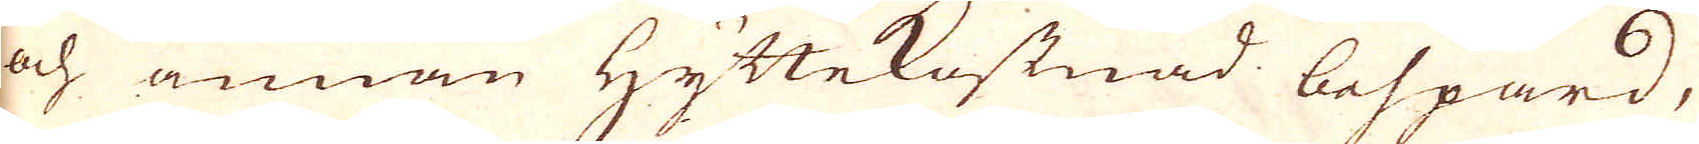och annan Hyttekostnad bespard,
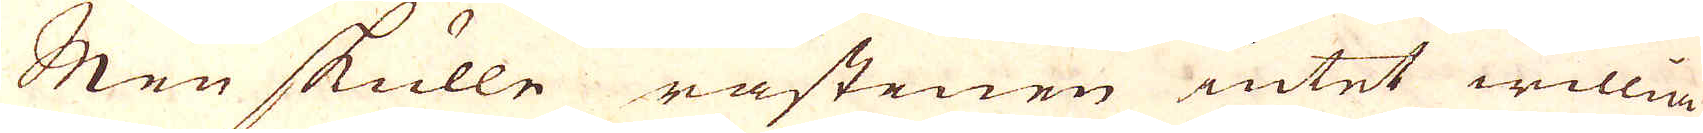Men skulle råstenen intet willia
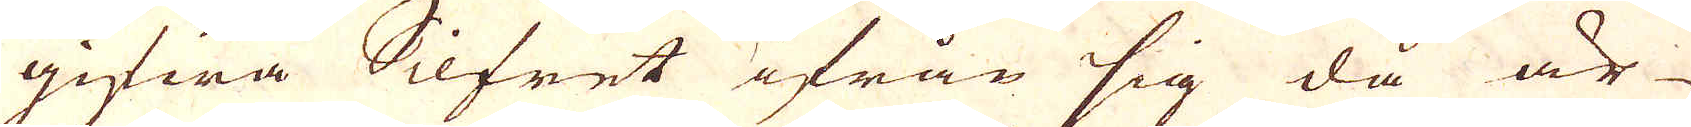gifwa Silfret ifrån sig då är
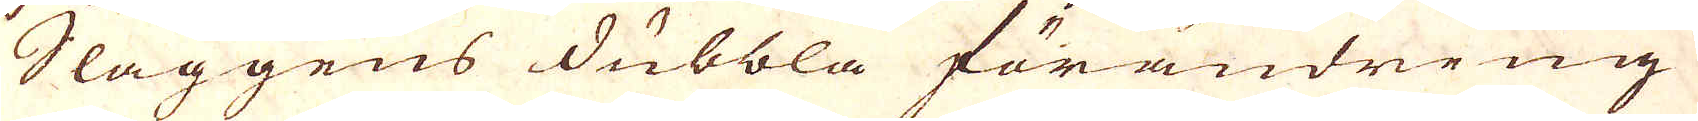Slaggens dubbla förändring
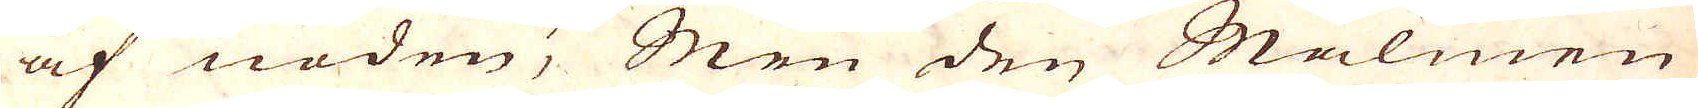af nöden; Men den Malmen
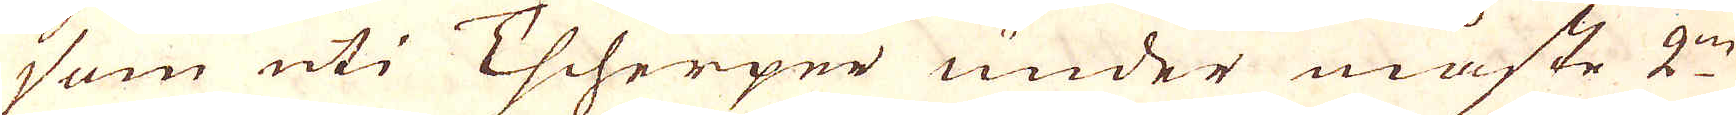som uti Tscherper under måste 2:ne
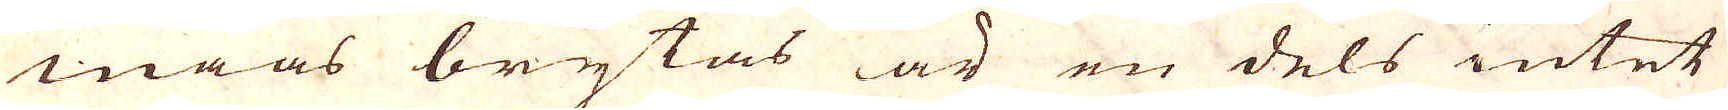maas berytas är en dels intet
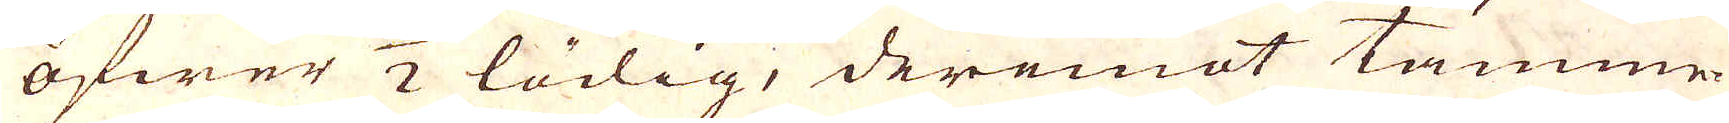öfwer 1/2 lödig, deremot tämme-
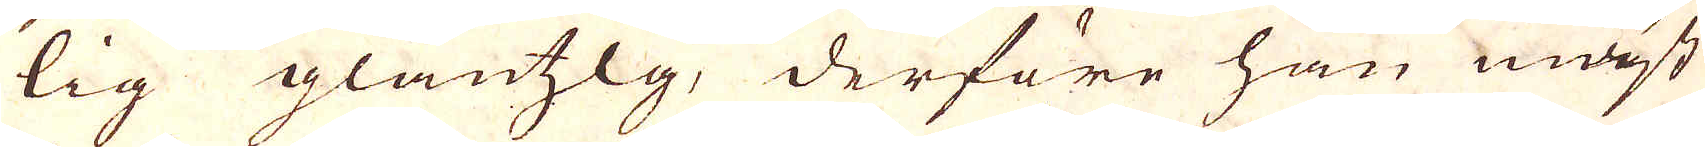lig glantzlg, derföre han mäst
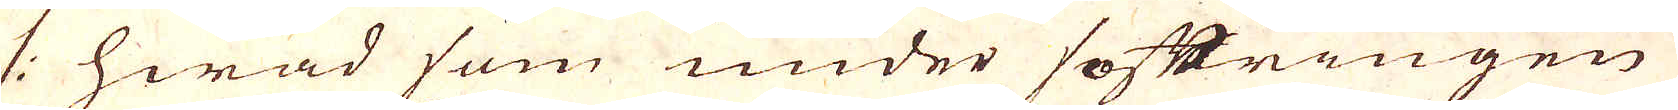/: hwad som under softringen
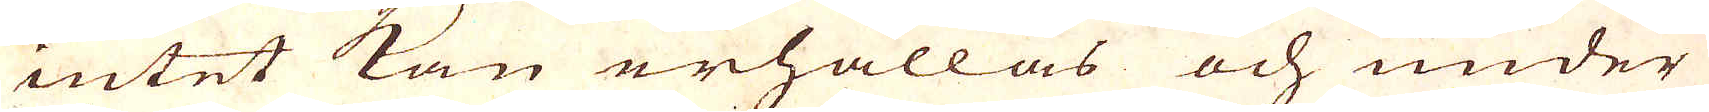intet kan erhållas och under
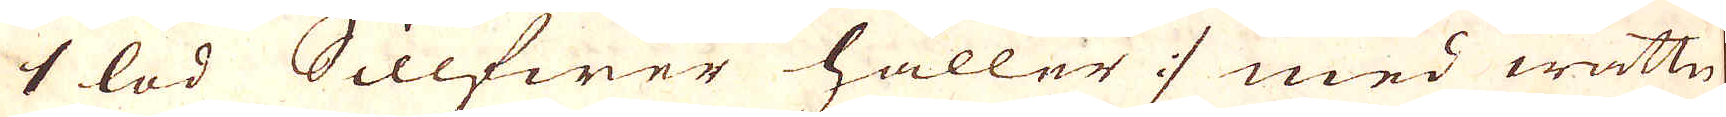1 lod Sillfwer håller / med wattn
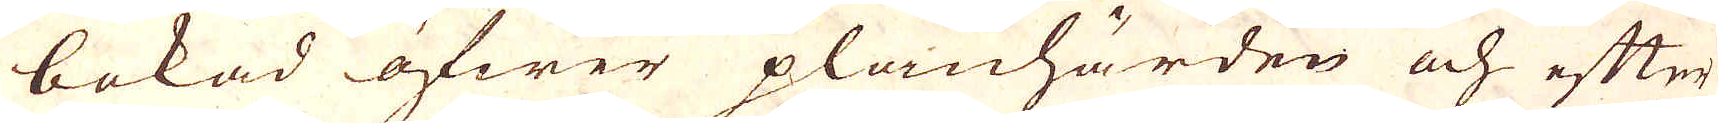bokad öfwer planhärden och efter
